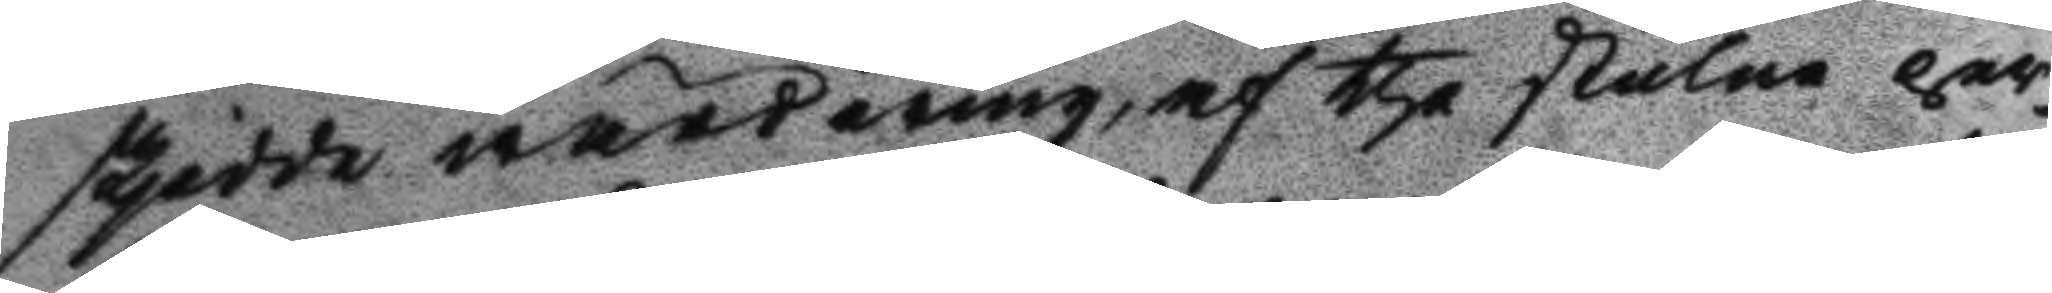skjedde wärdering af the stulne per¬
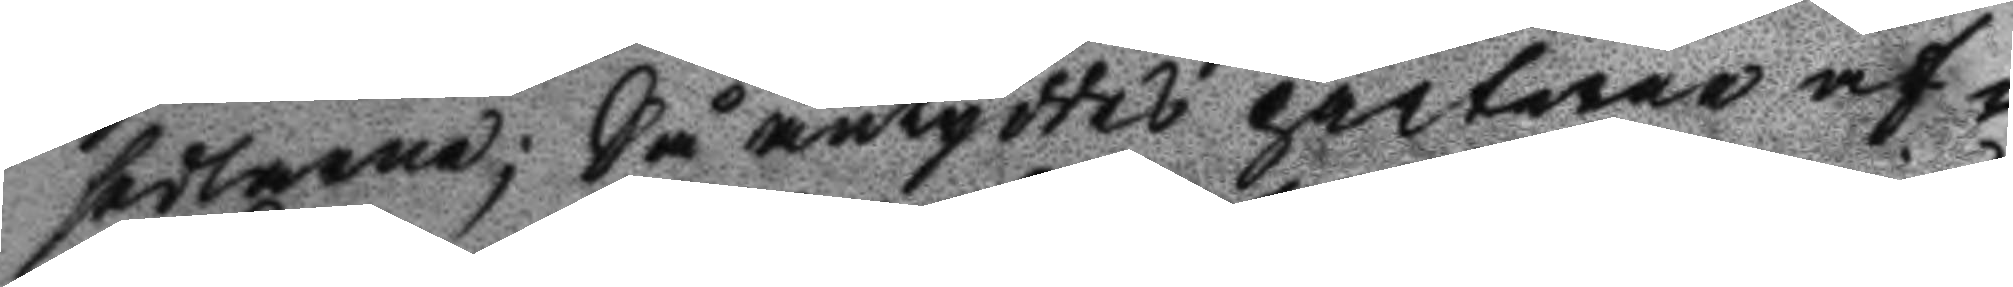sedlarne; Så antyddes parterne af¬
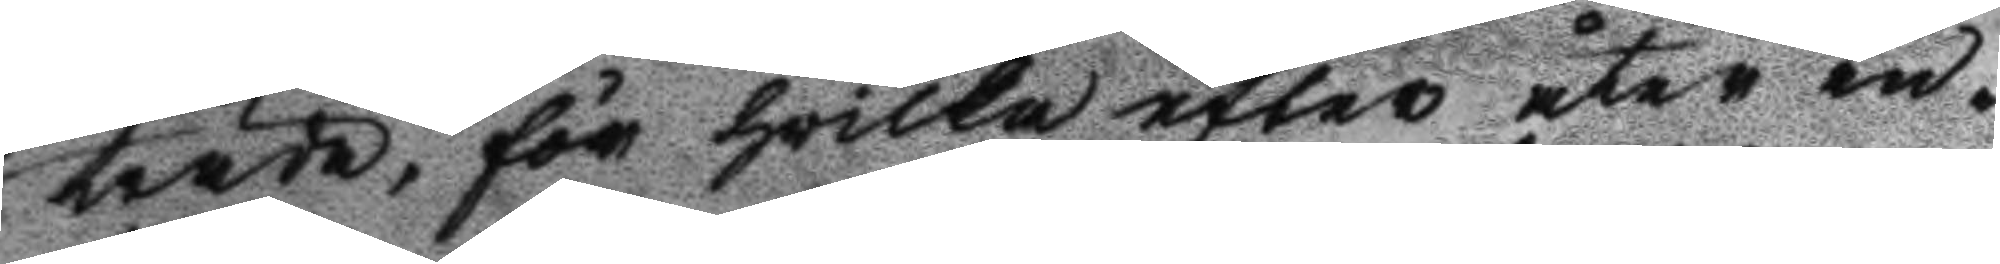träda, för hwilka efter åter in¬
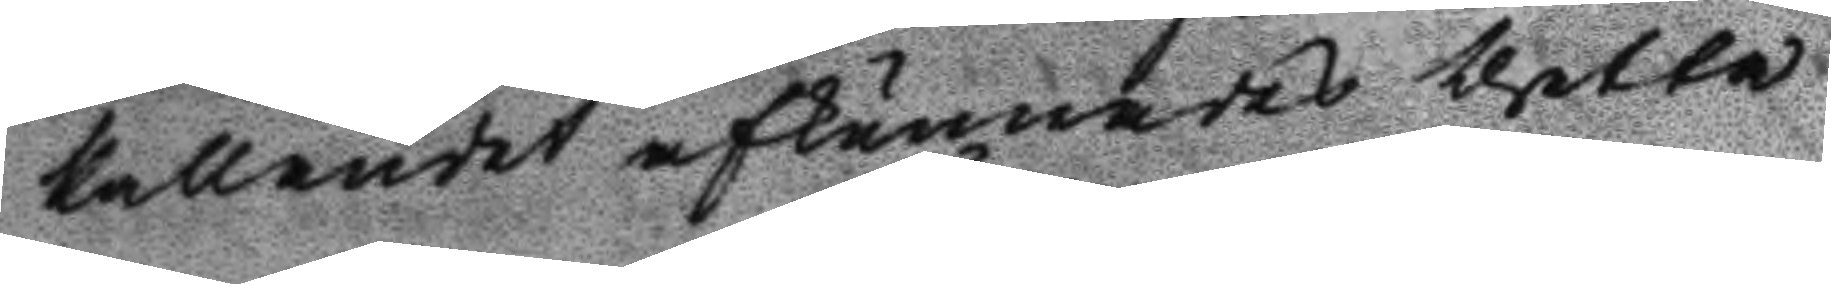kallandes afkunnades thetta
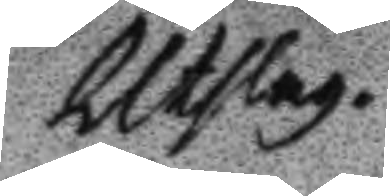Utslag.
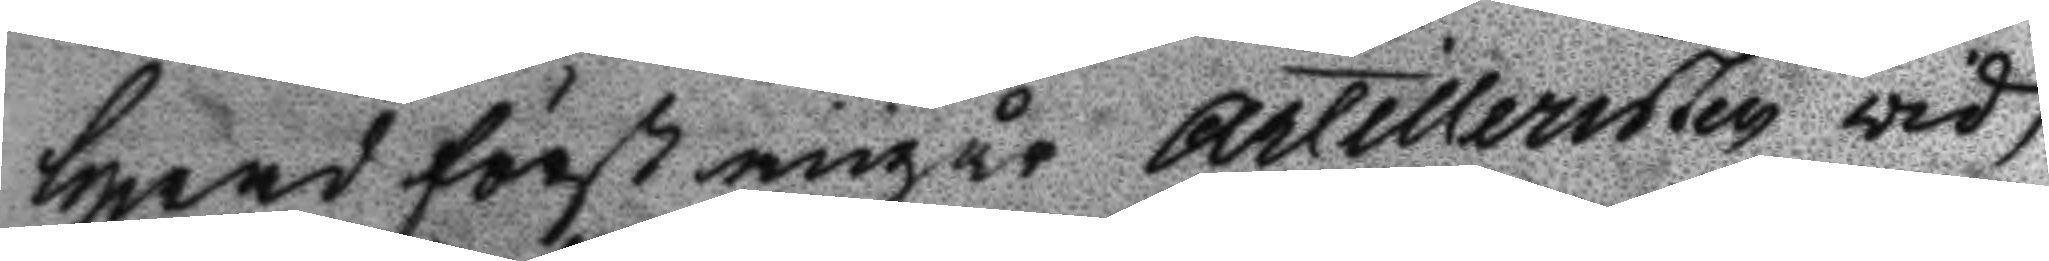Hwad först angår Artilleristen vid
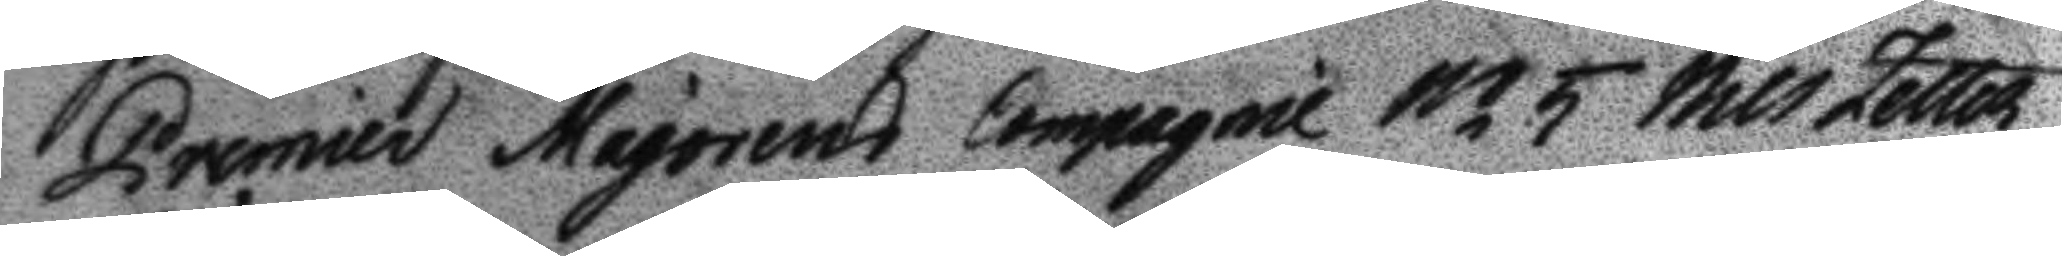Premier Majorens Compagnie No 5 Nils Zetter¬
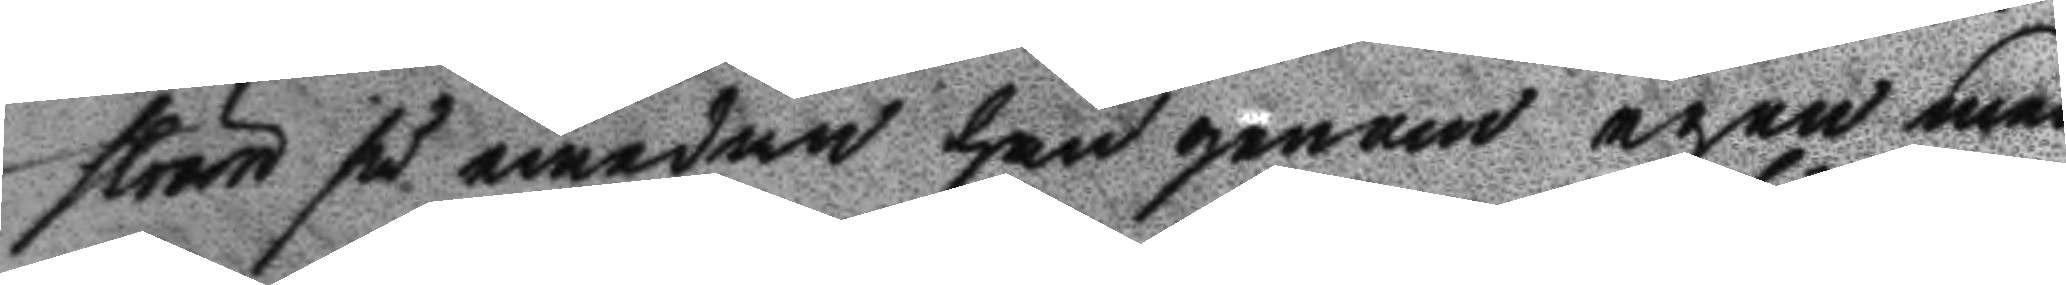ström så emedan han genom egen med
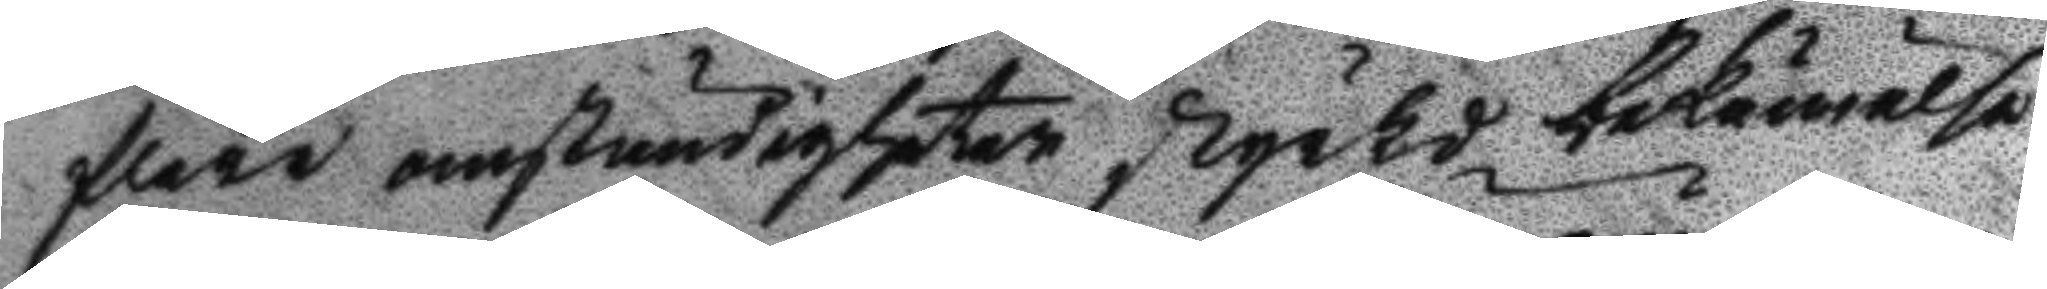flere omständigheter styrkd bekännelse
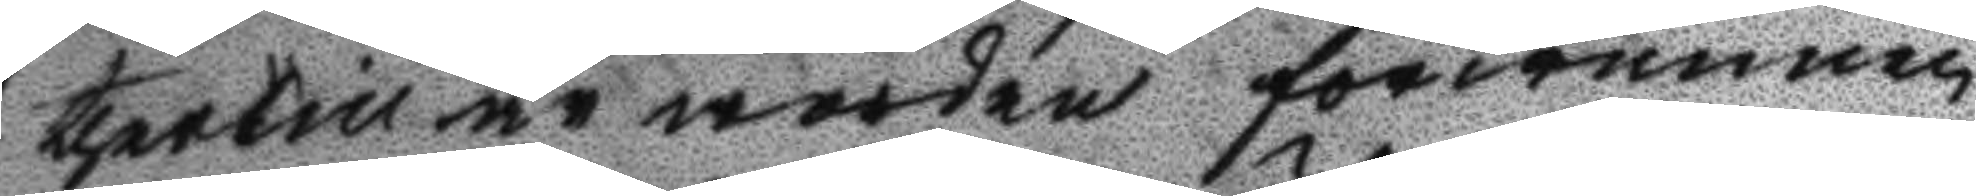thertill är worden förwunnen
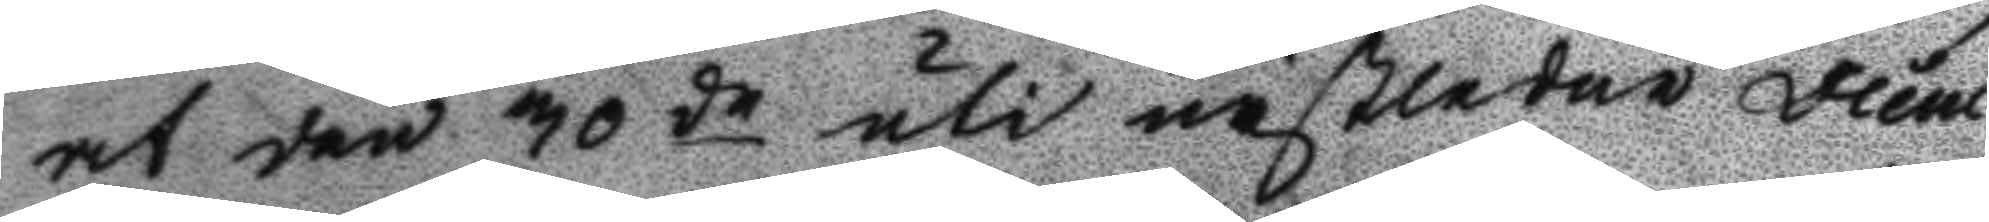at den 30de uti bästledne Dece¬
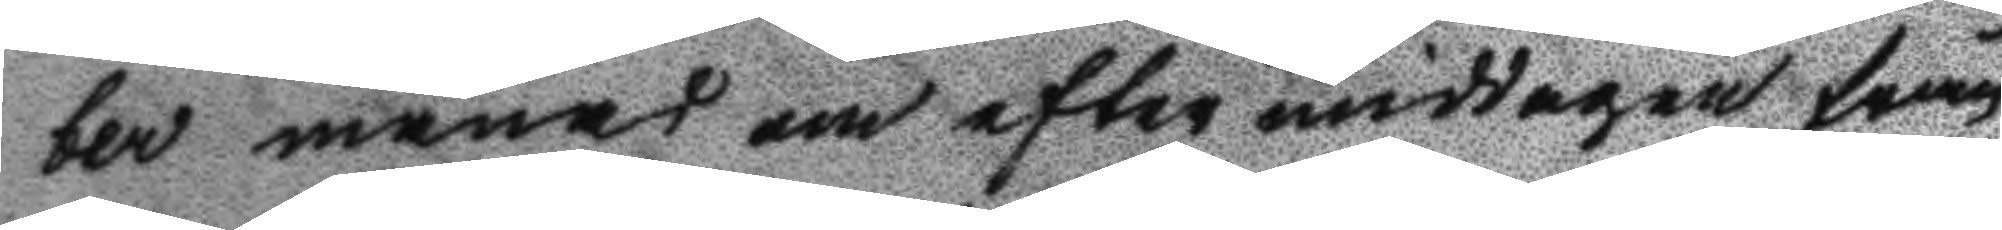ber månad om eftermiddagen från
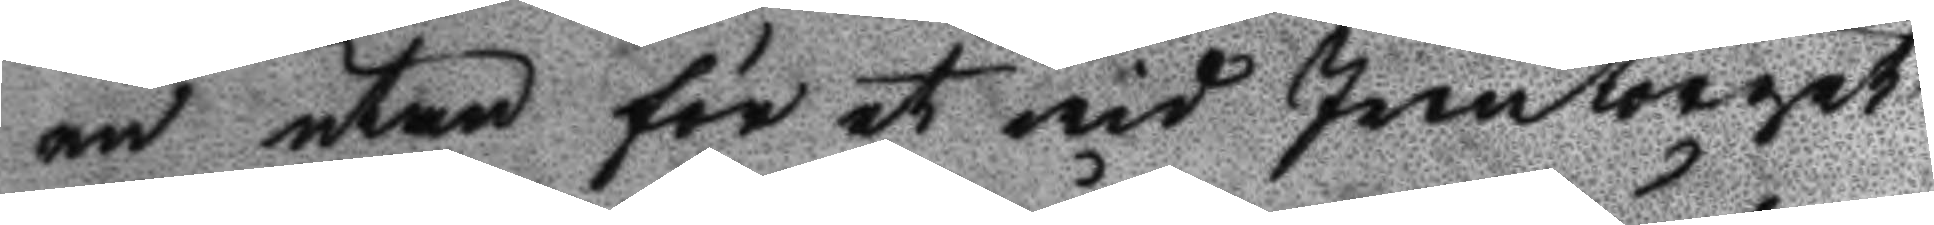en utan för et wid Jerntorget
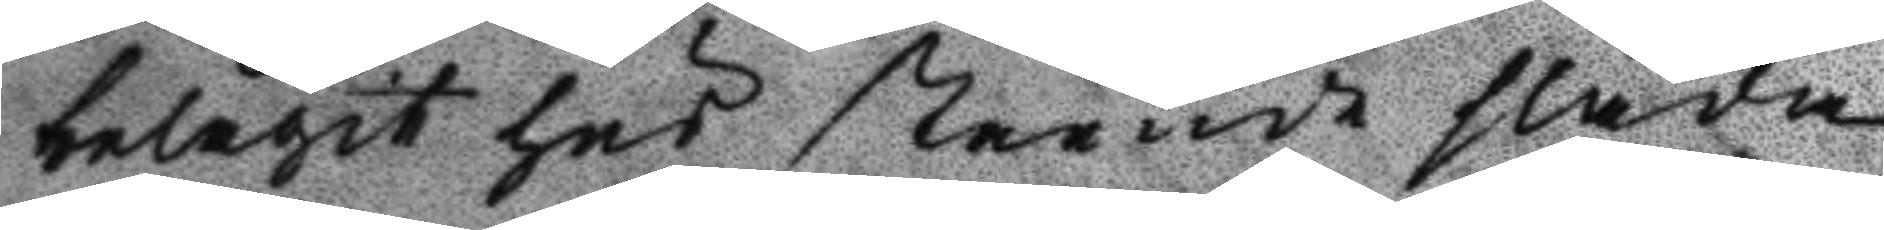belägit hus stående släda
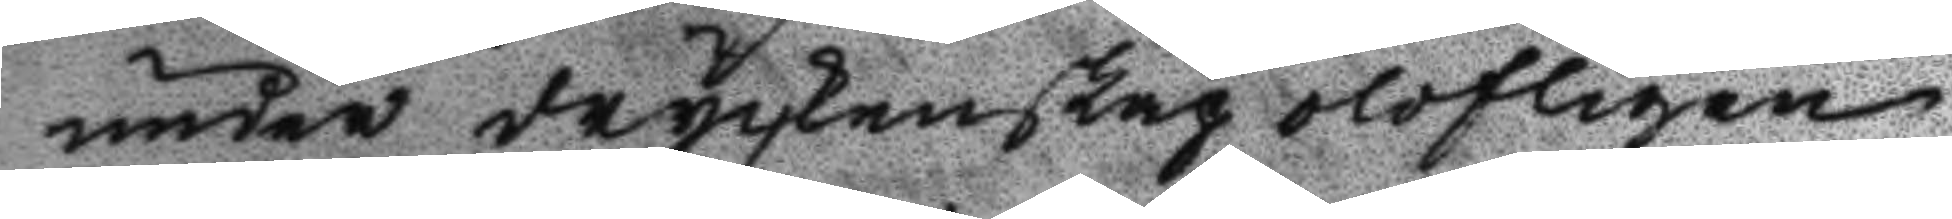under dryckenskap olofligen
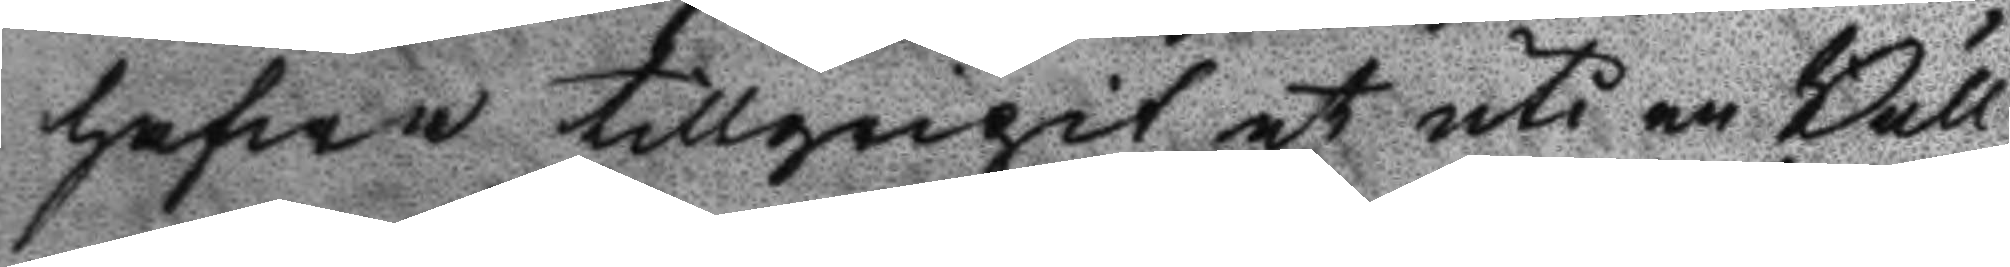hafwa tillgripit et uti en Bull
